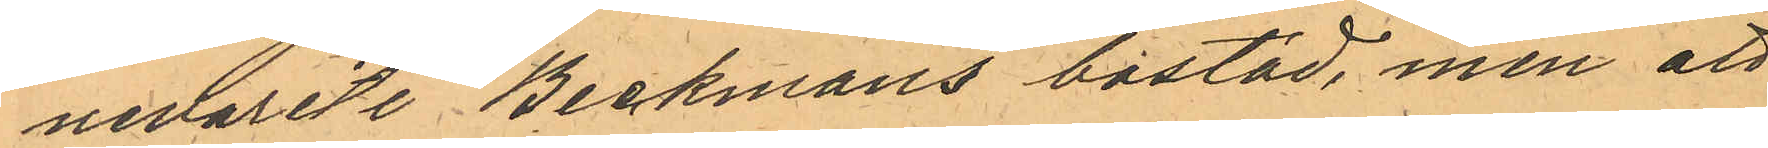nevarit i Beckmans bostad, men att
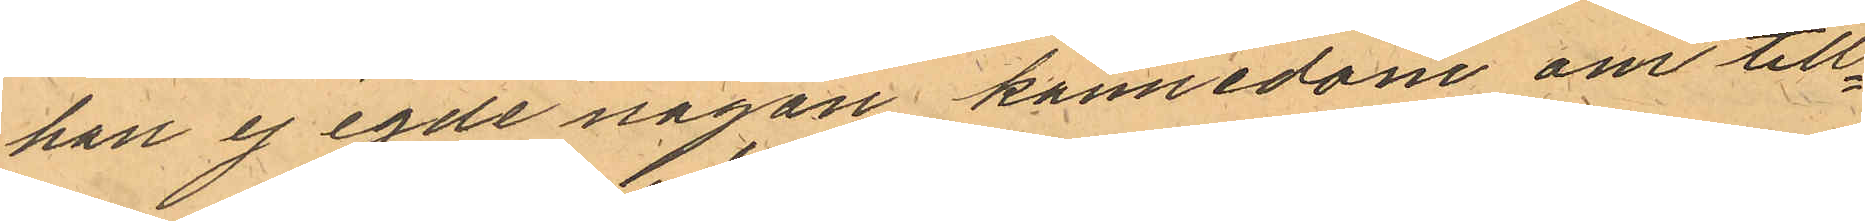han ej egde någon kännedom om till¬
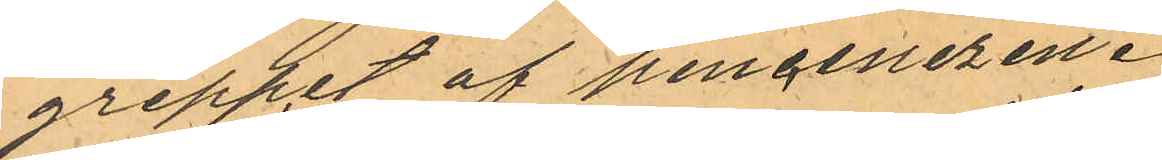greppet af pincenezen.
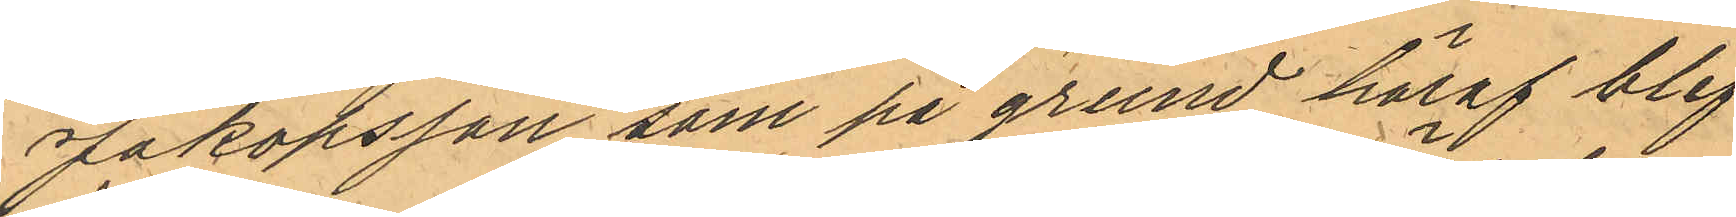Jakobsson som på grund häraf blef
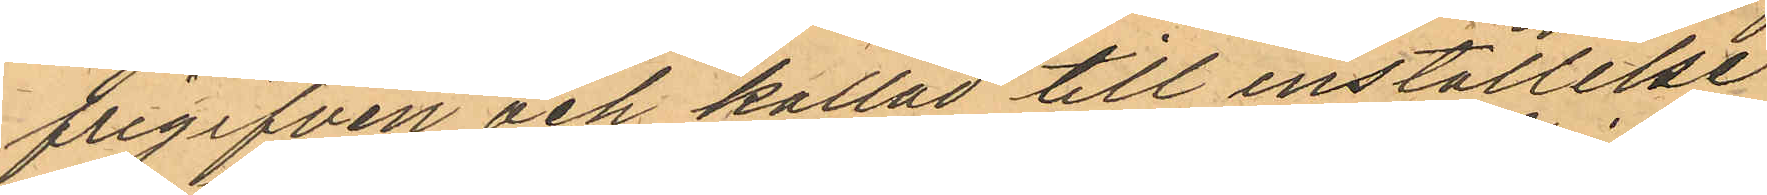frigifven och kallad till inställelse 
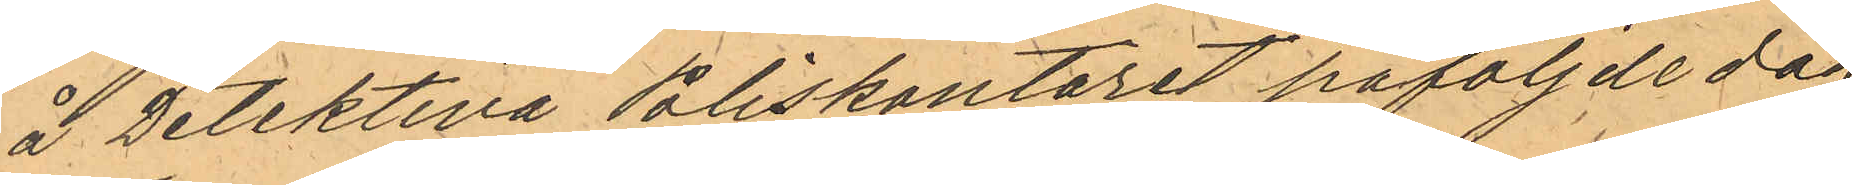å Detektiva Poliskontoret påföljde dag
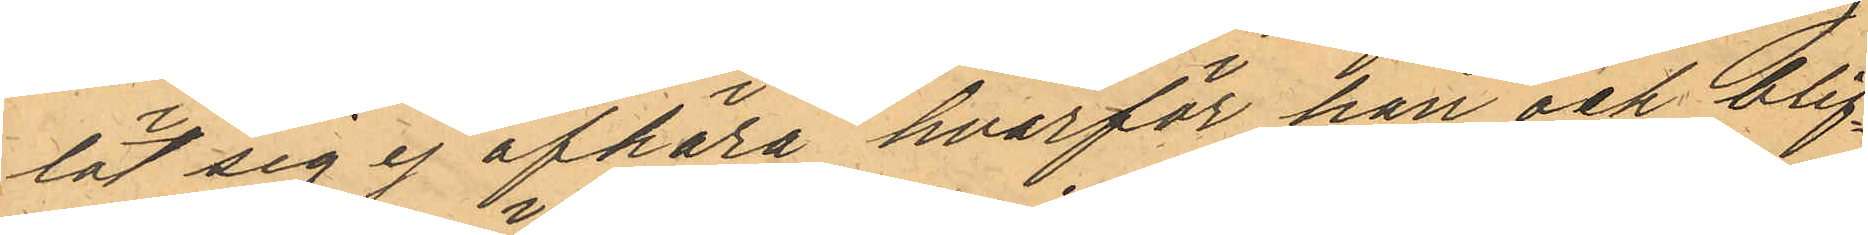lät sig ej afhöra hvarför han ock blif¬
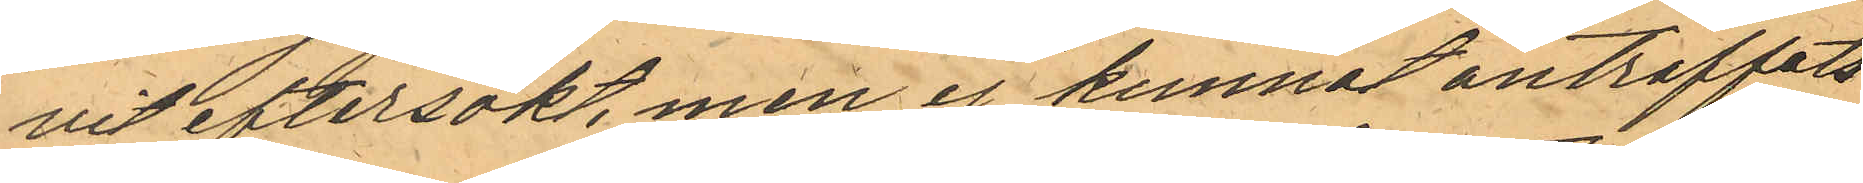vit eftersökt, men ej kunnat anträffas
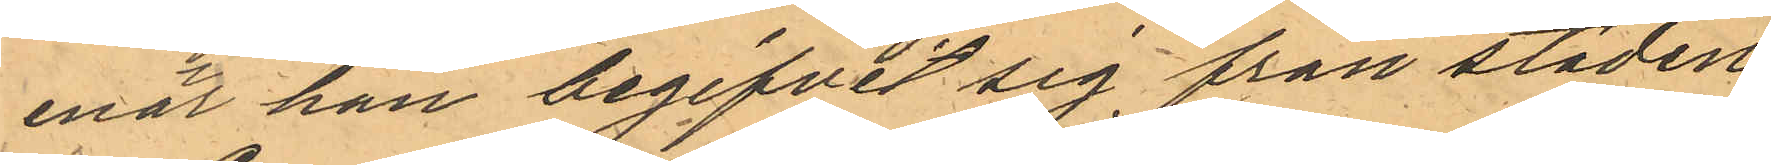enär han begifvit sig från staden.
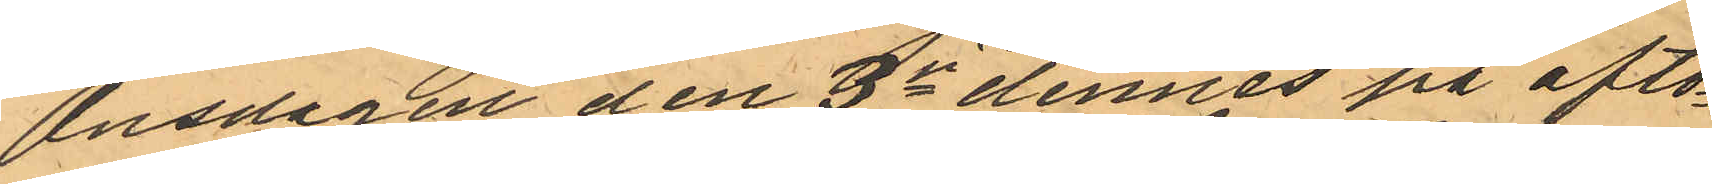Onsdagen den 3je dennes på afto¬
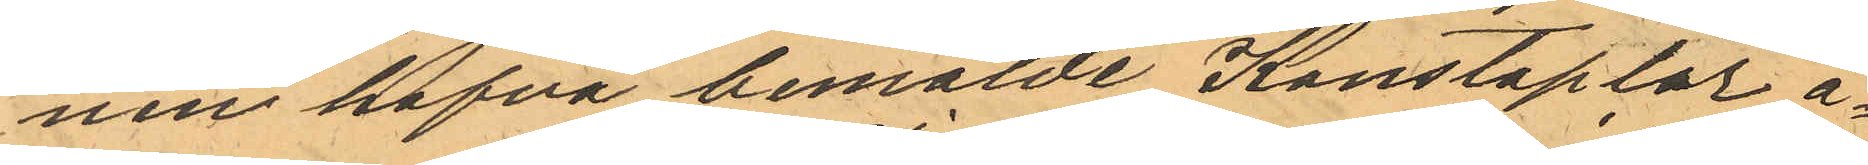nen hafva bemälde Konstaplar å¬
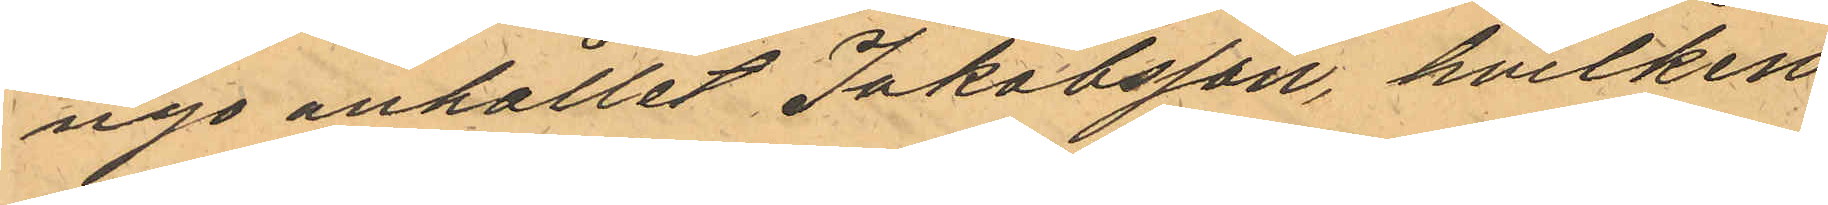nyo anhållit Jakobsson, hvilken
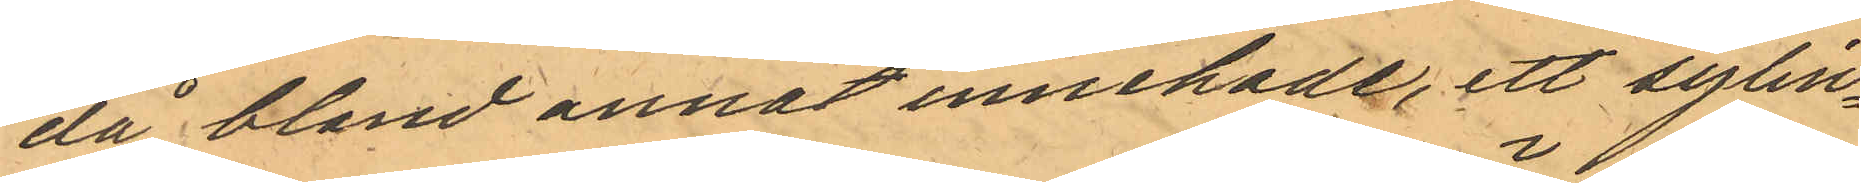då bland annat innehade, ett sylin¬
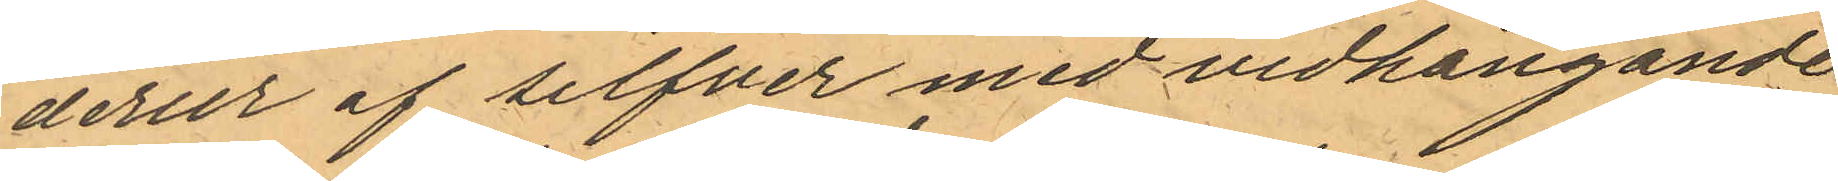derur af silver med vidhängande 
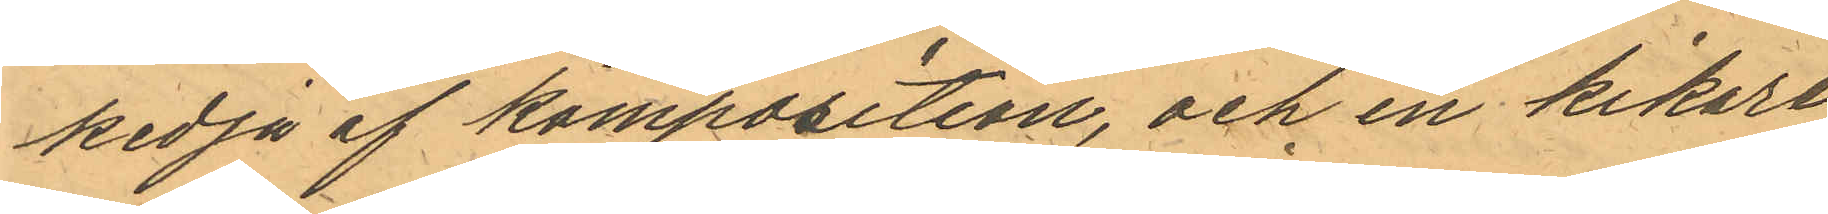kedja af komposition, och en kikare
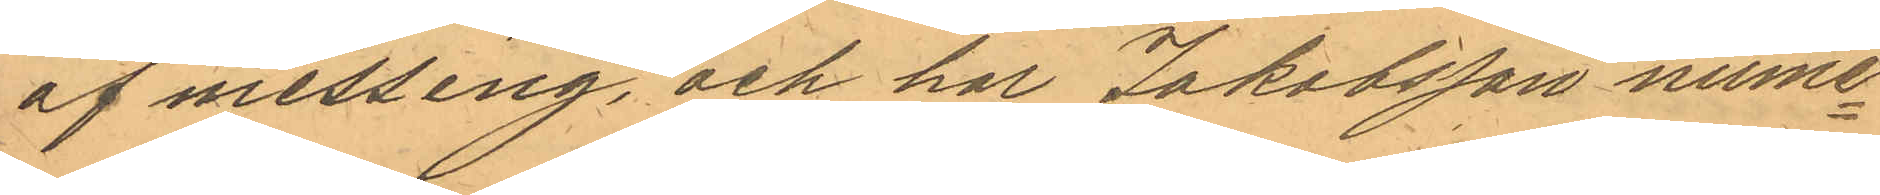af messing, och har Jakobsson nume¬
